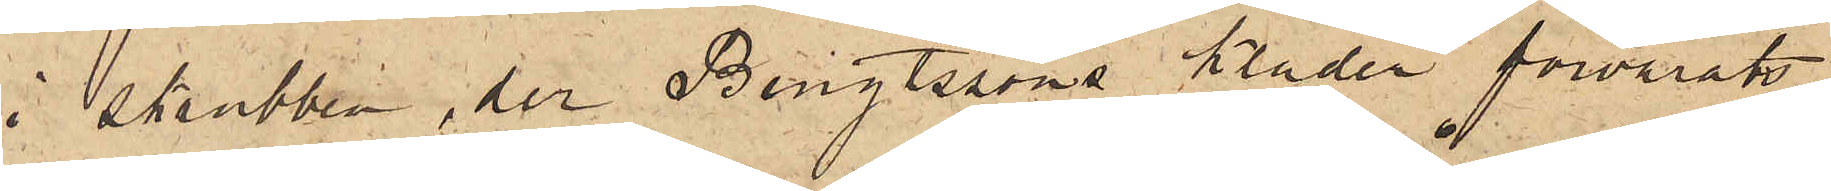i skrubben, der Bengtssons kläder förvarats,
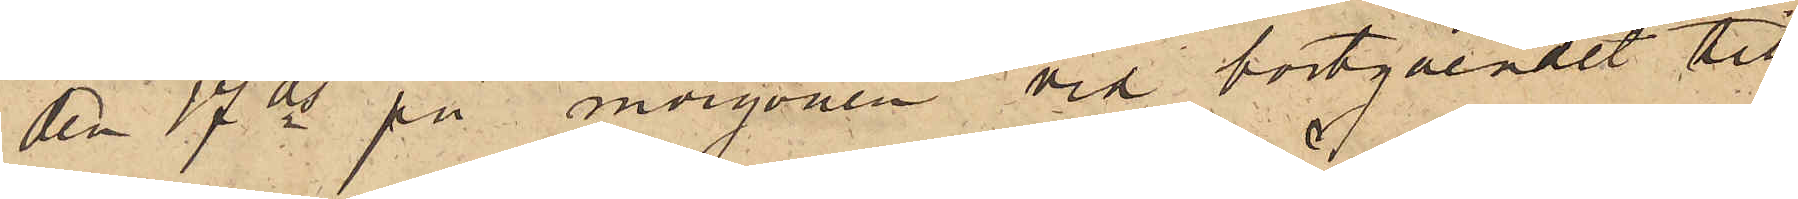den 17 ds på morgonen vid bortgåendet till¬
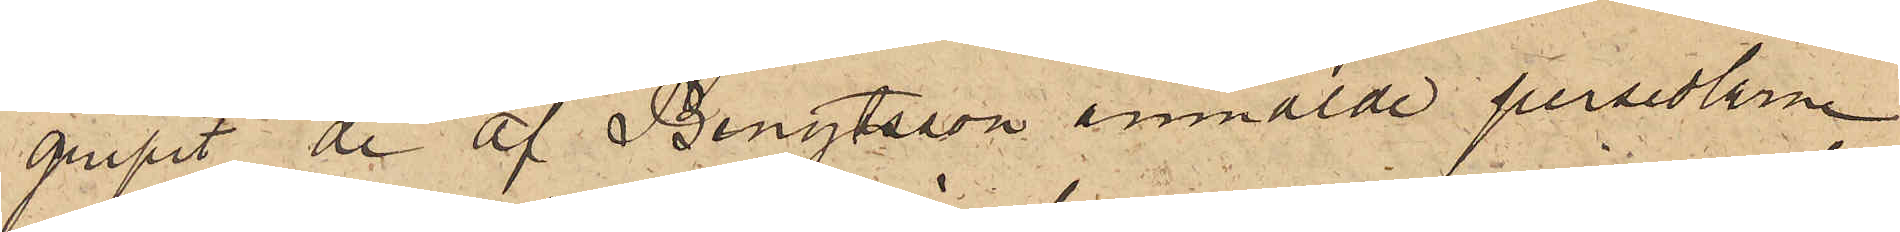gripit de af Bengtsson anmälde persedlarne,
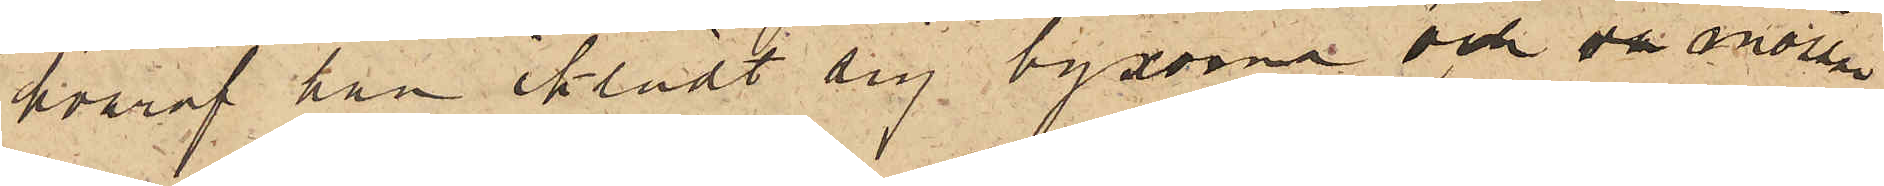hvaraf han iklädt sig byxorna och då mössan
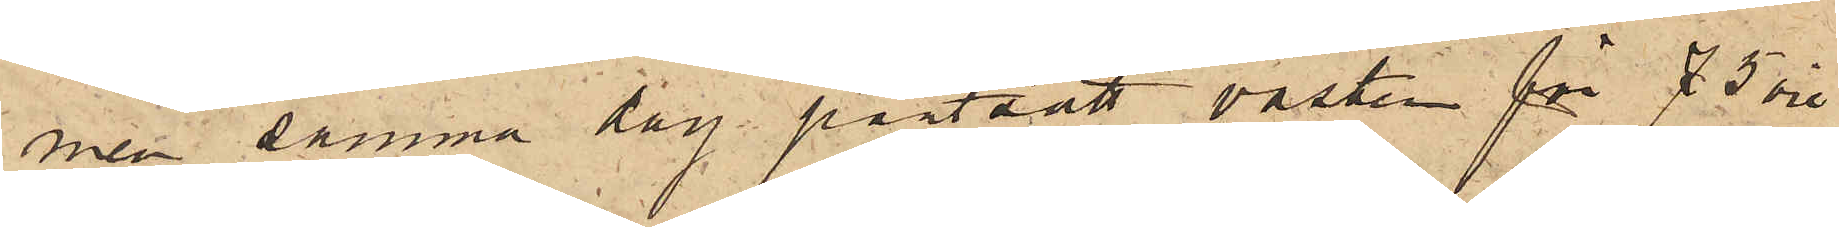men samma dag pantsatt västen för 75 öre
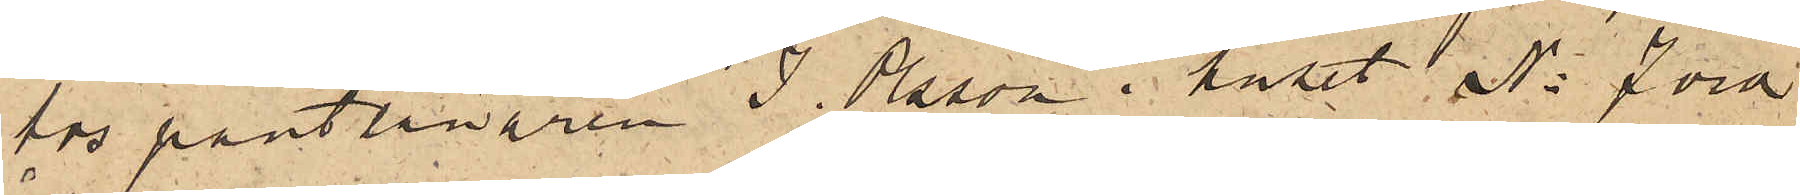hos pantlånaren J. Olsson i huset No 7 vid
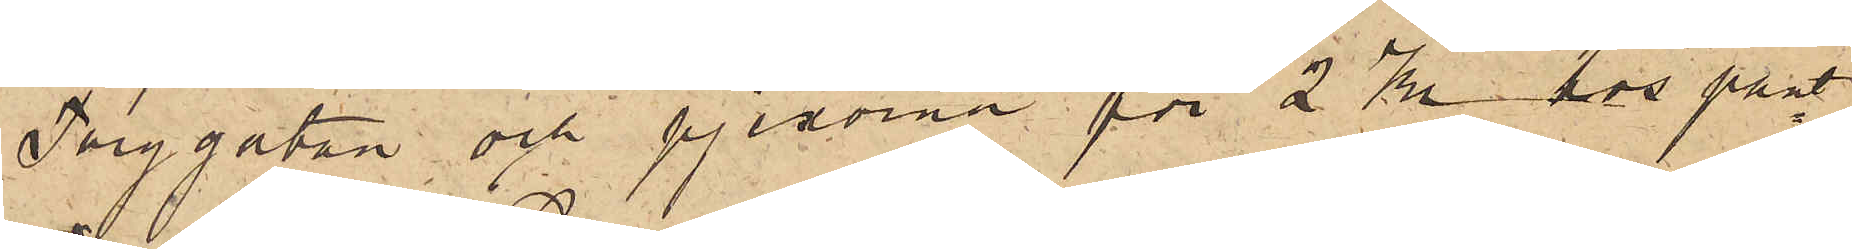Torggatan och pjexorna för 2 Kr hos pant¬
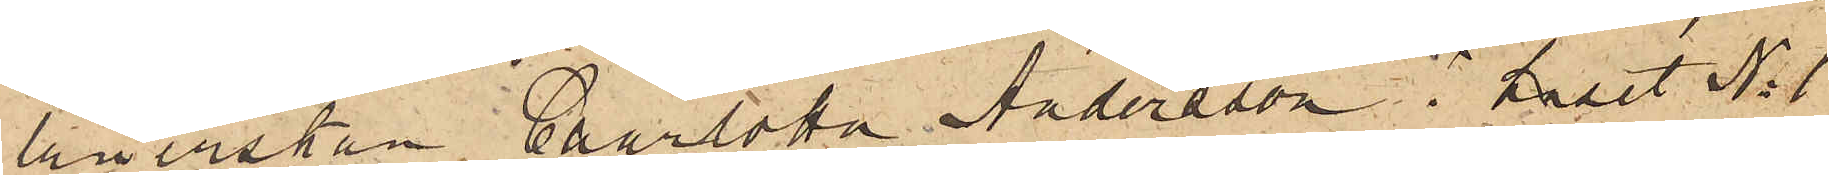lånerskan Charlotta Andersson i huset No 1
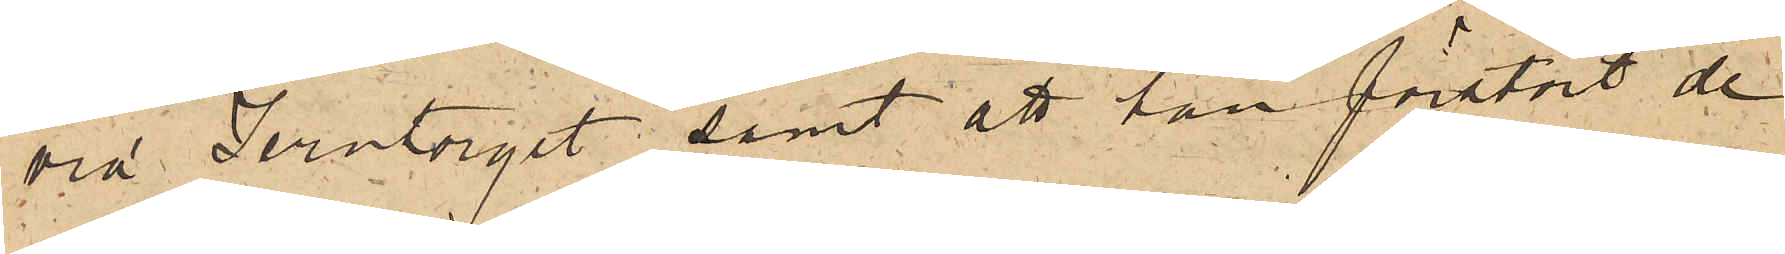vid Jerntorget; samt att han förstört de
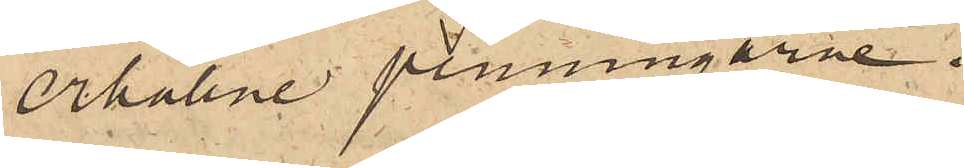erhållne penningarne.
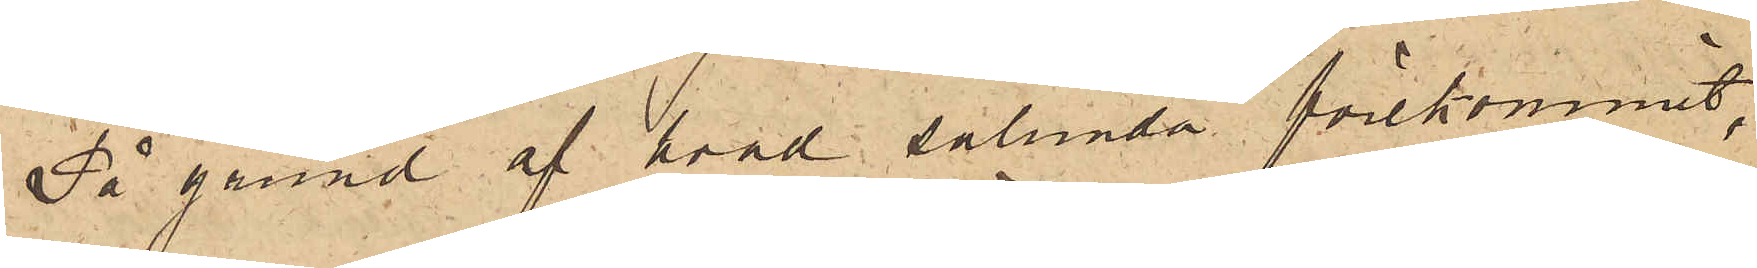På grund af hvad sålunda förekommit,
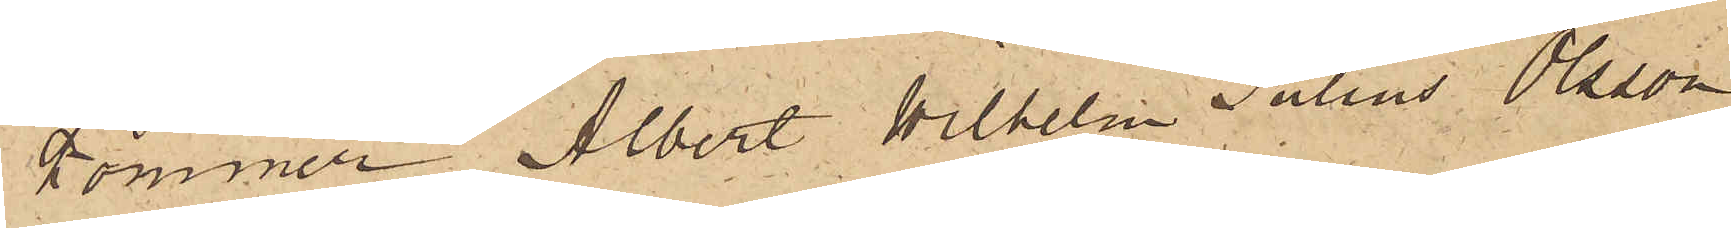kommer Albert Wilhelm Julius Olsson,
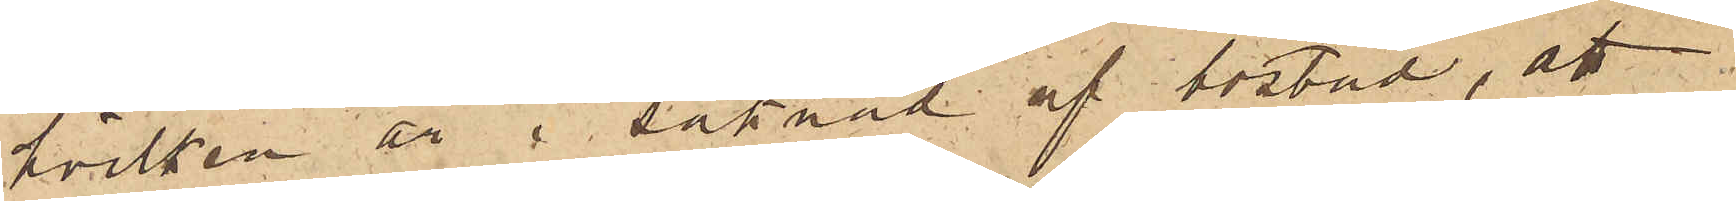hvilken är i saknad af bostad, att
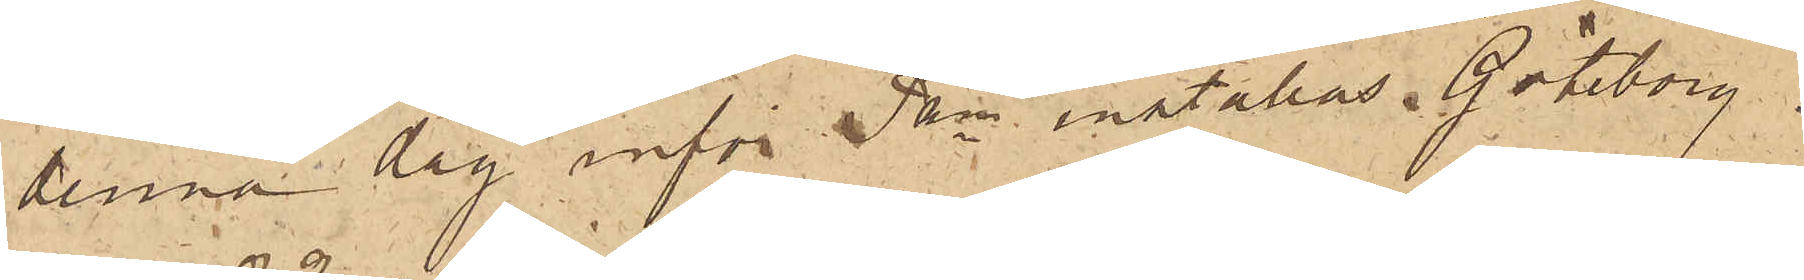denna dag inför Pkn inställas. Göteborg
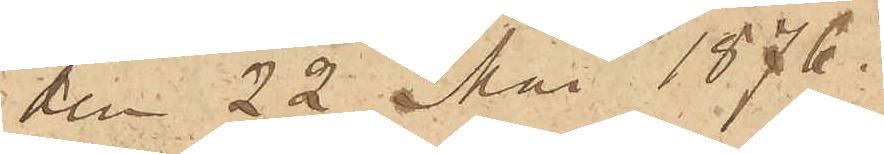den 22 Mai 1876.
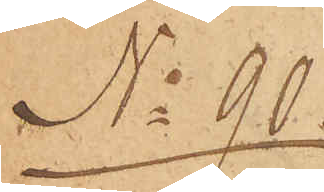No 90
